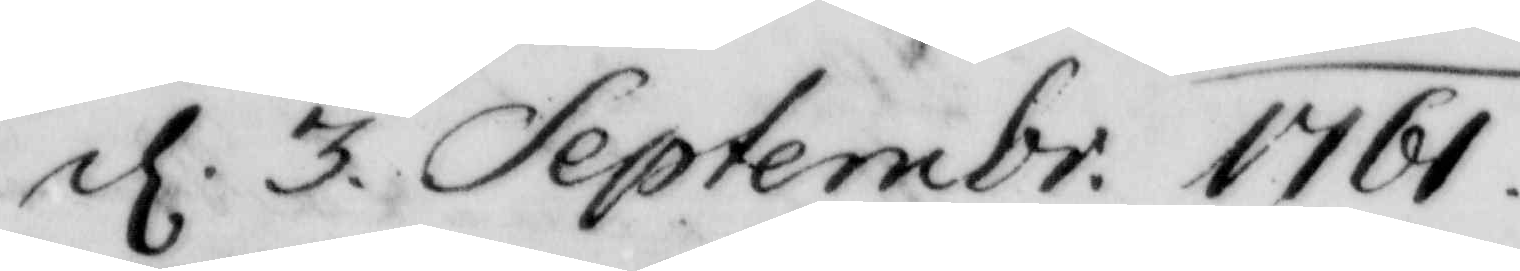d 3 Septembr. 1761. 
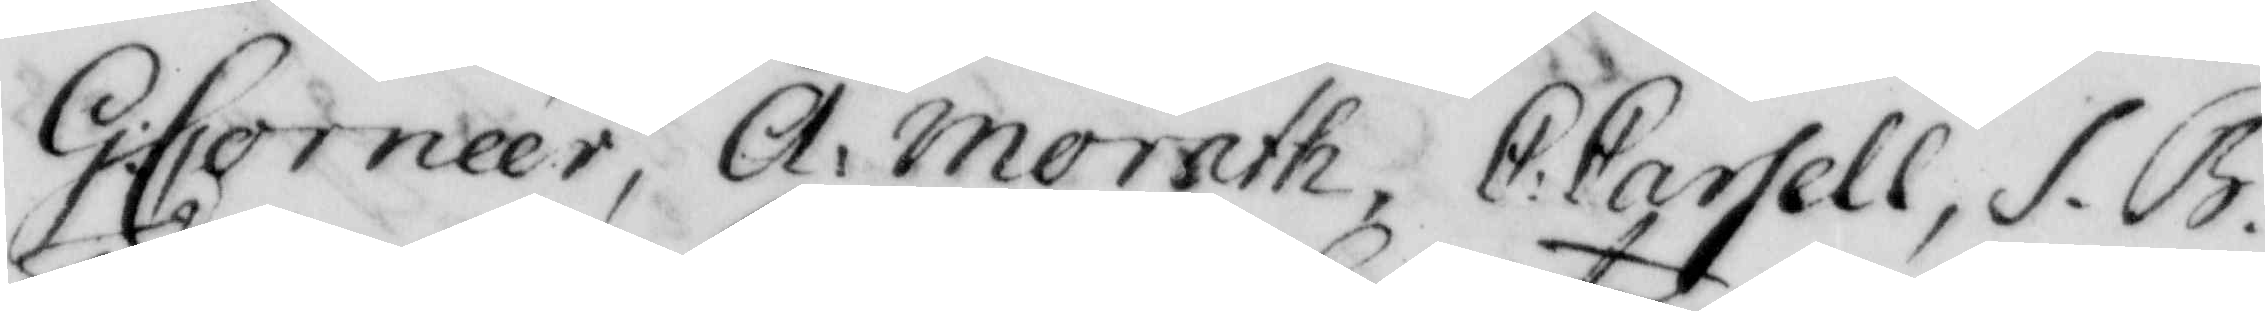G: Corneér, A. Morath, C:Carsell, S. B 
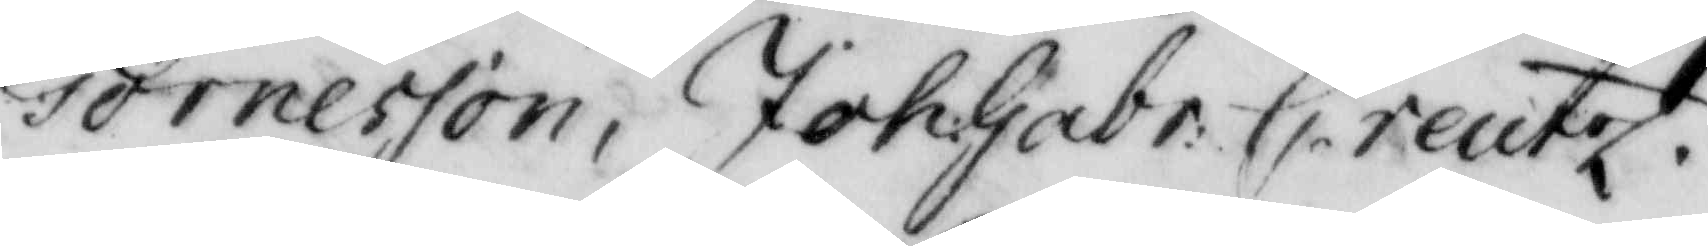Tornesson, Joh. Gabr: Creutz.
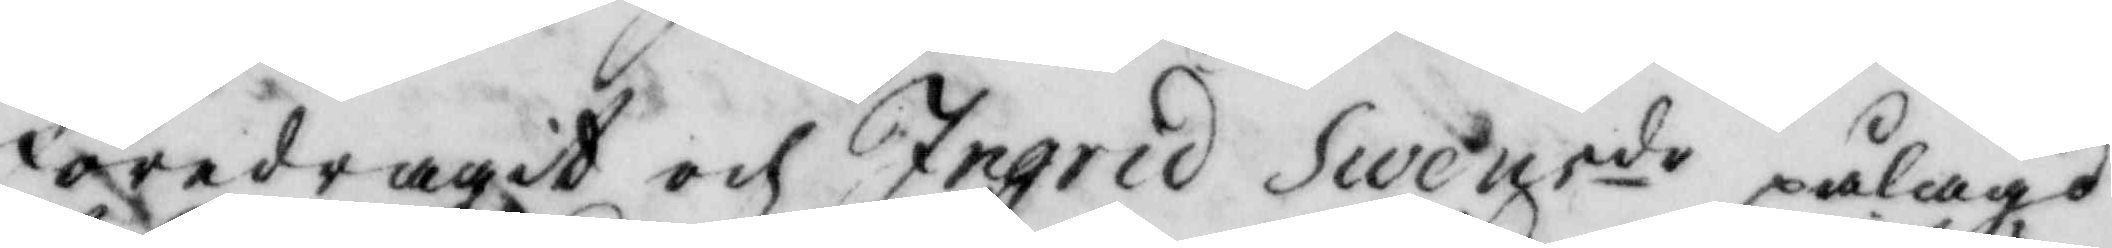föredragit och Ingrid Swensdr pålagd
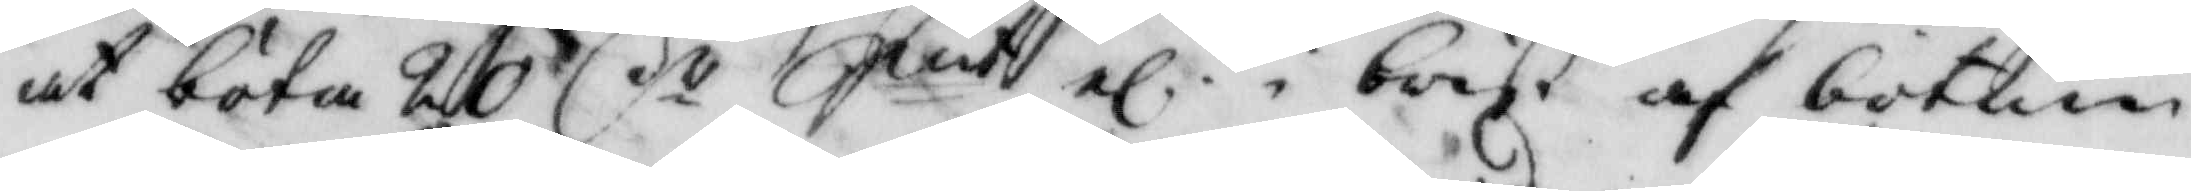at böta 20 Cr Smt el i brist af botum 
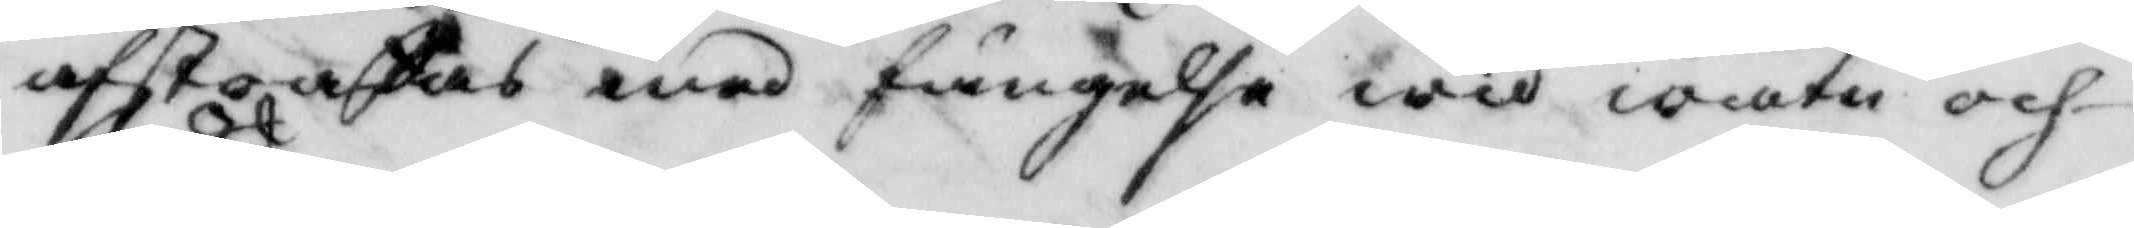afstraffas med fängelse wid watn och
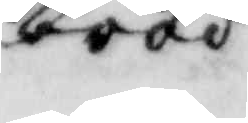bröd.
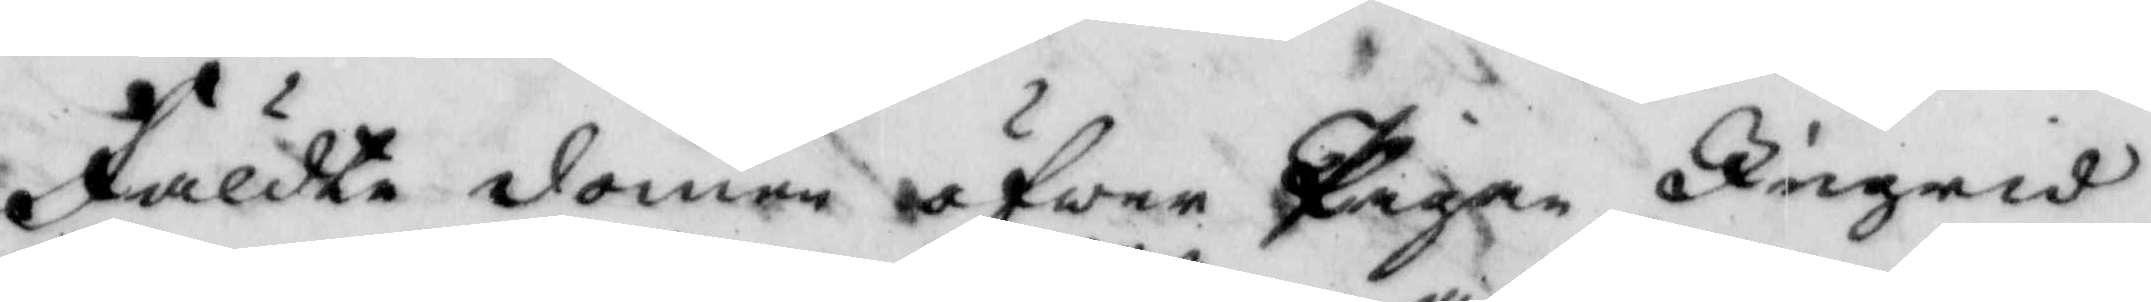fäldte domen öfwer Pigan Ingrid
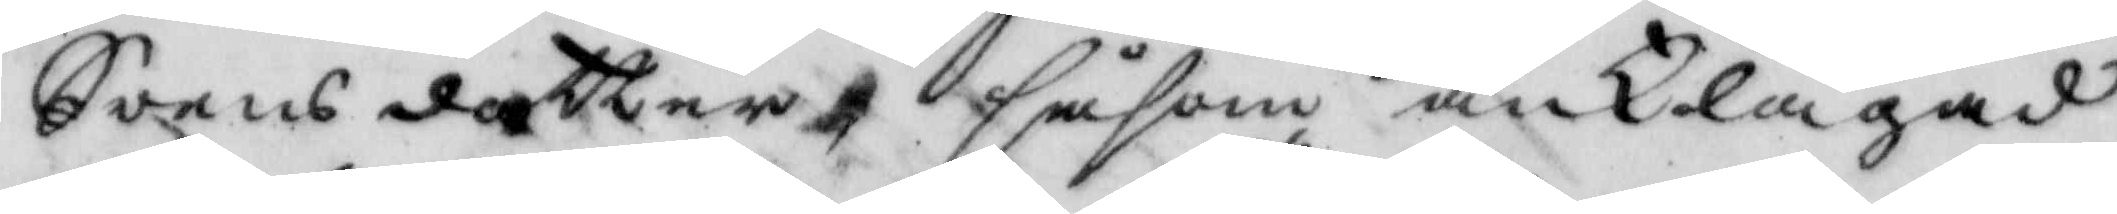Swensdotter, såsom anklagade
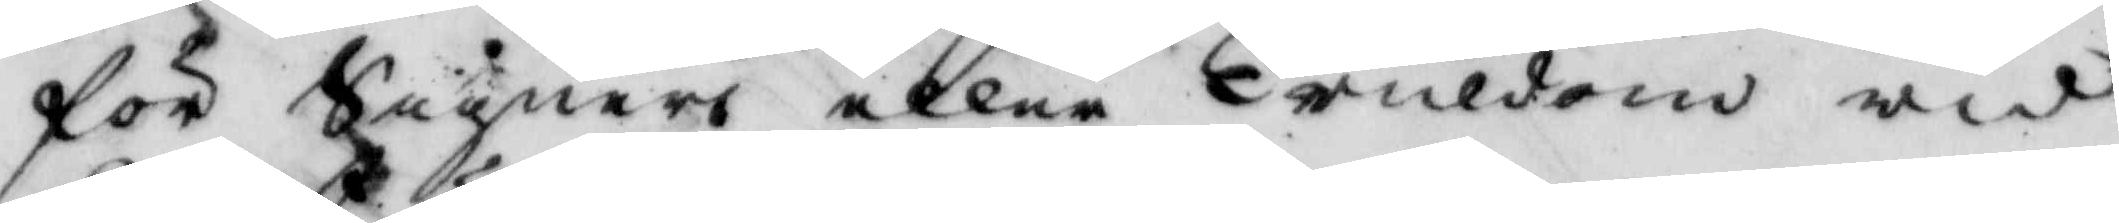för Signeri eller Truldom wid
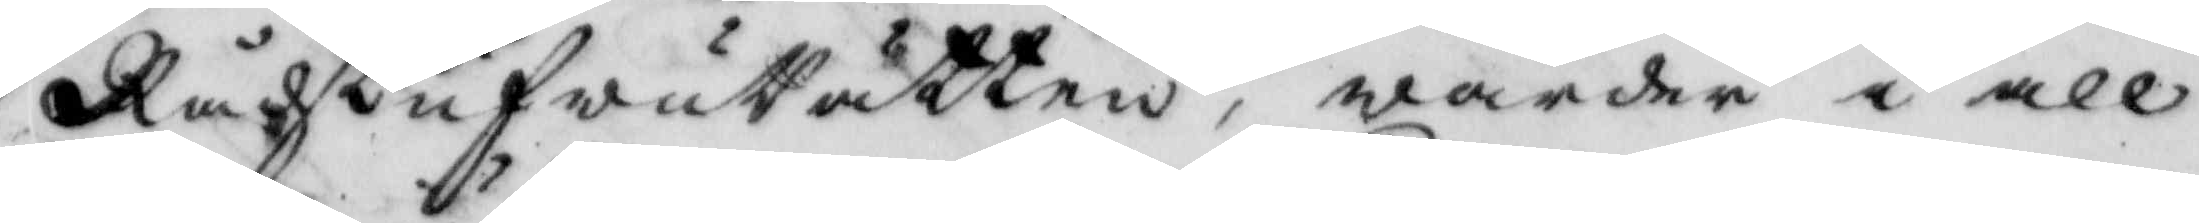RådstufwuRätten, warder i all
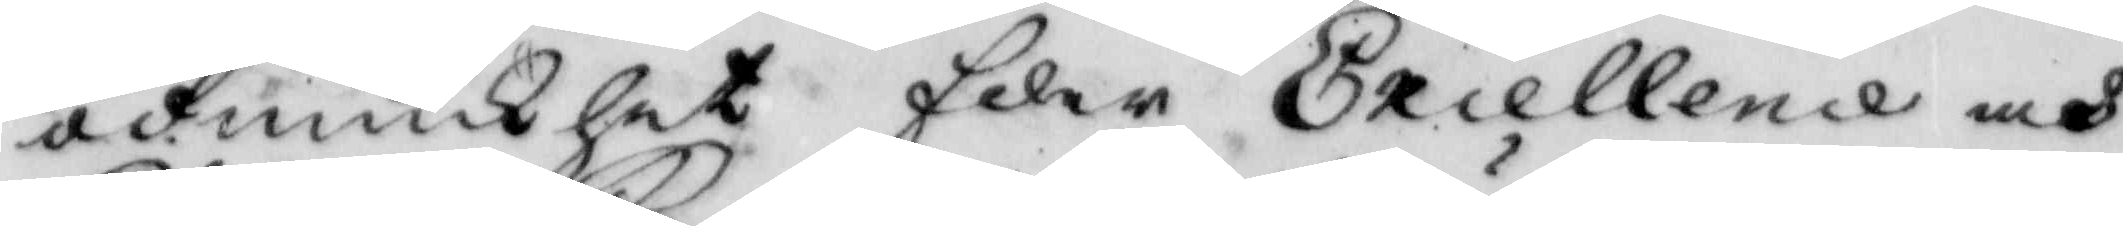ödmiukhet Eder Excellence och
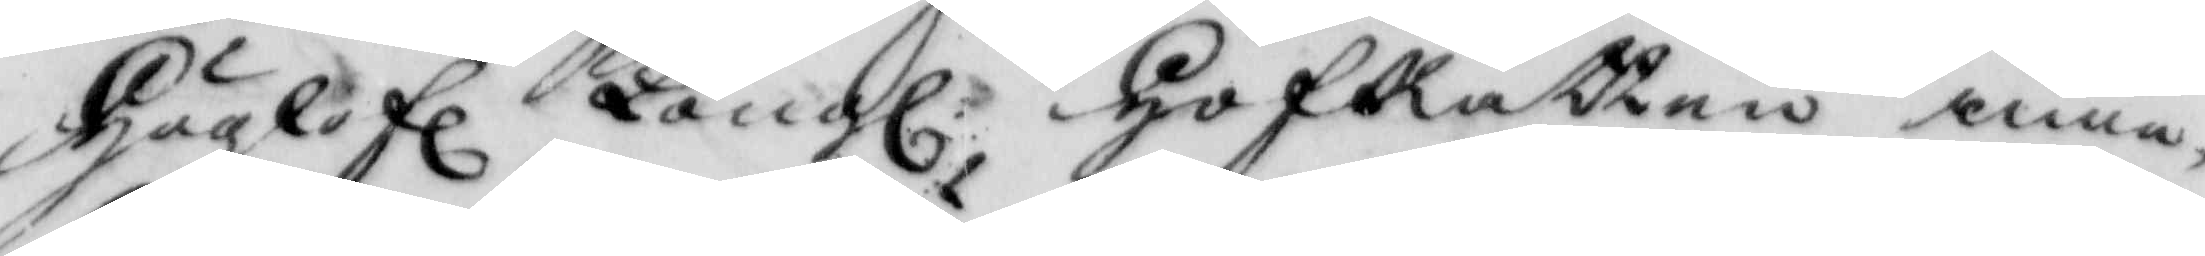Höglofl Kongl: HofRätten inne¬ 
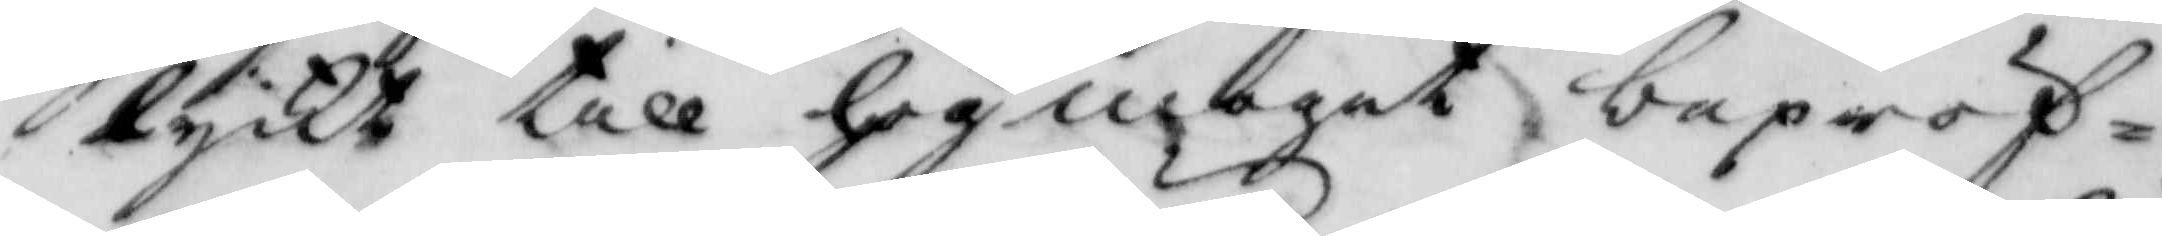lyckt till högmoget bepröf¬
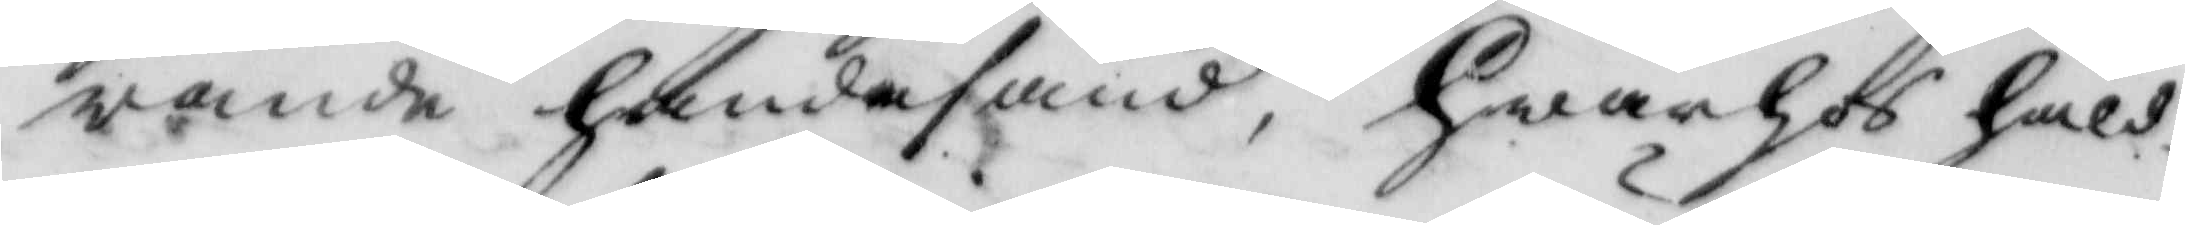wande handasänd, hwarhos håld¬
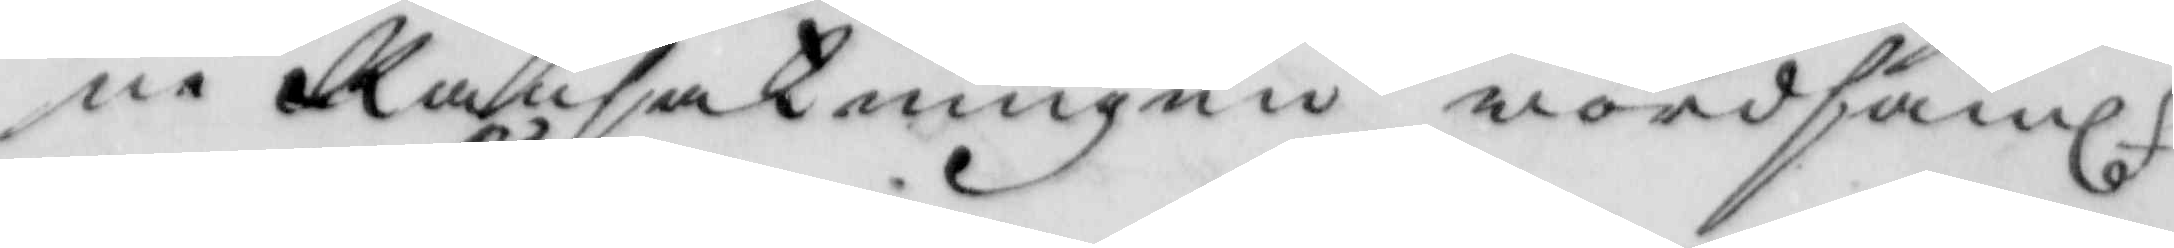ne Ransakningen wördsaml. 
